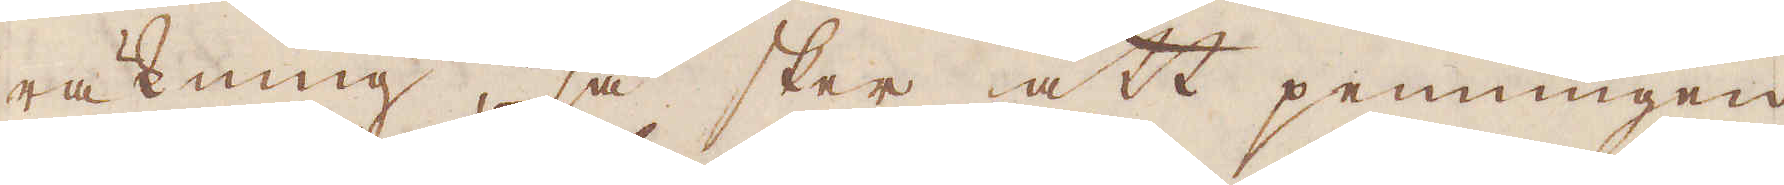räkning, så sker att penningen
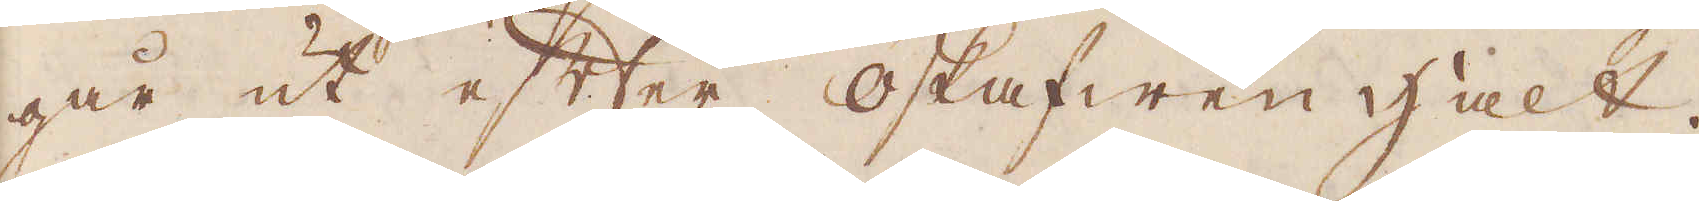går ut efter oskafwen halt.
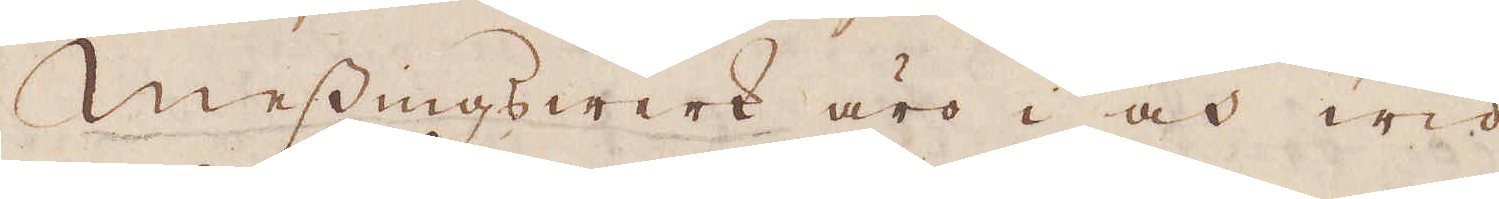Messingswerk äro i och wid
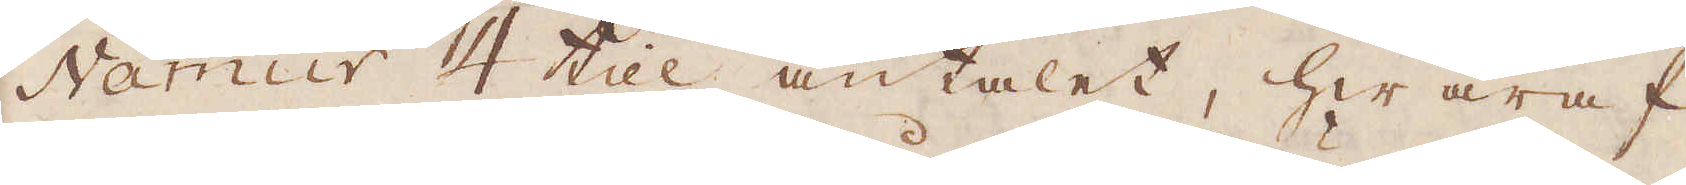Namur 4 til antalet, hwaraf
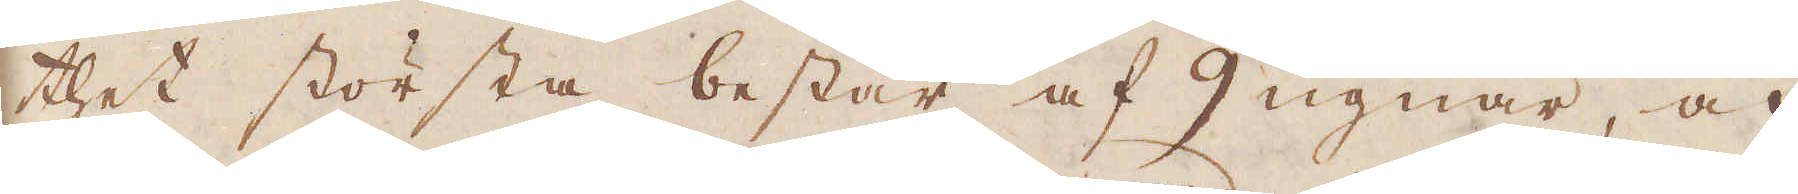thet största består af 9 ugnar, och
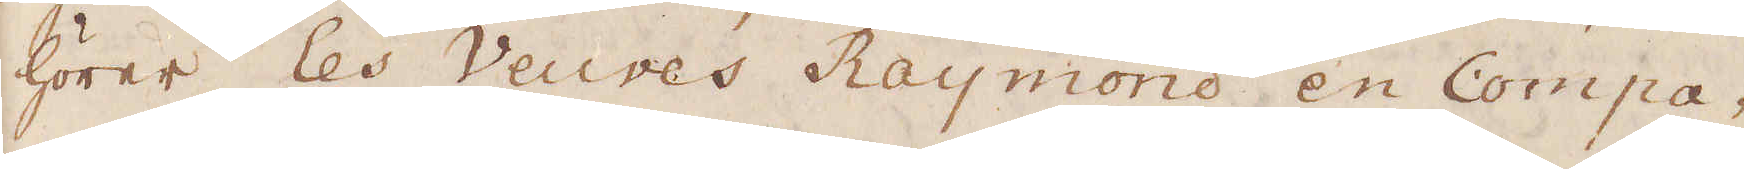hörer Les Veuves Raymond en Compa-
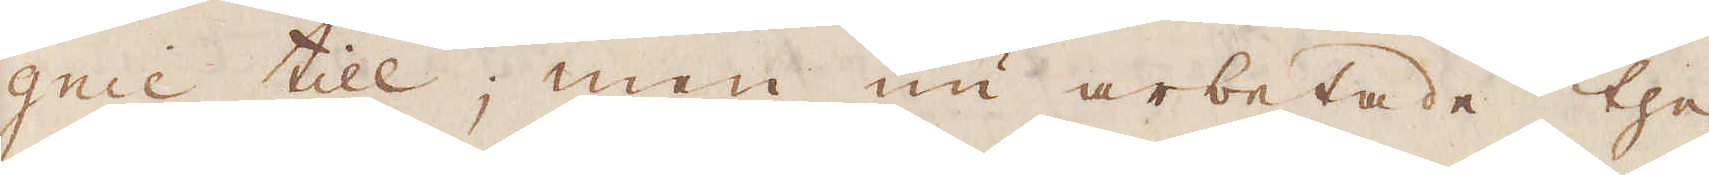gnie till; men nu arbetade the
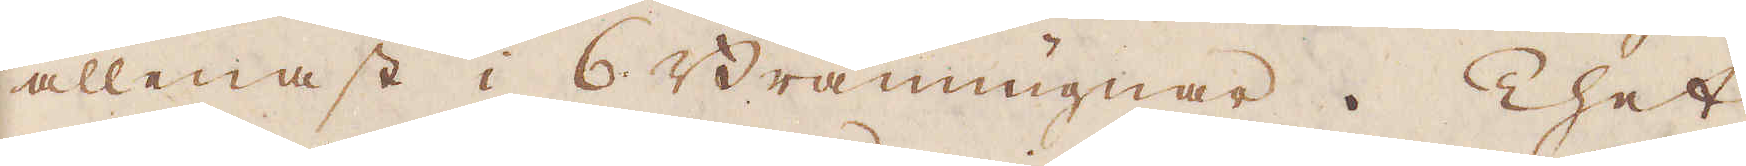allenast i 6 Brännugnar. Thet
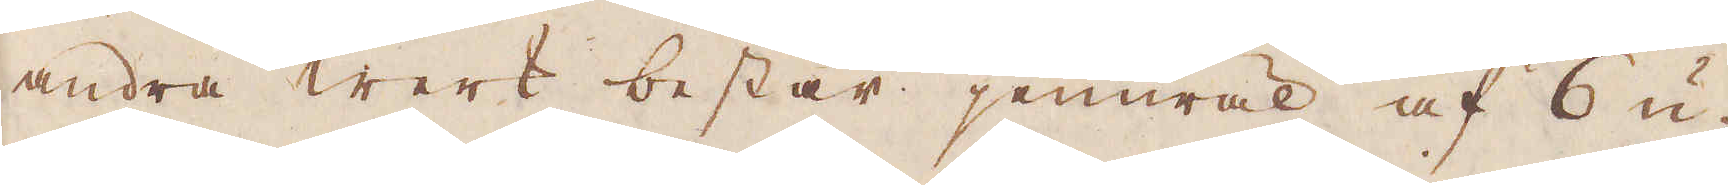andra werk består jemwäl af 6 u-
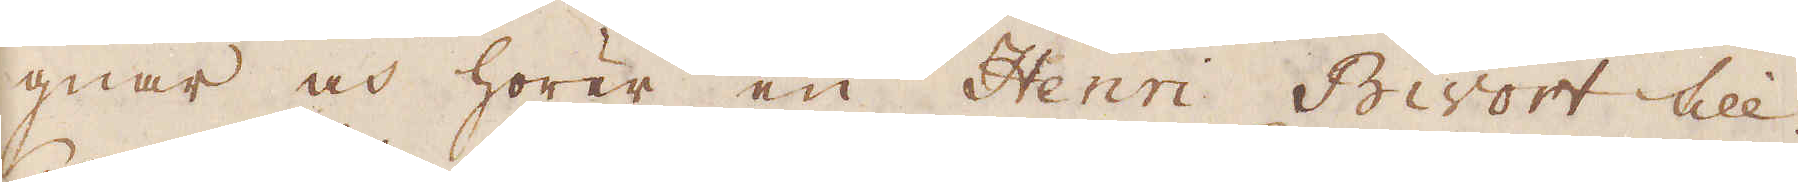gnar och hörer en Henri Biwort till.
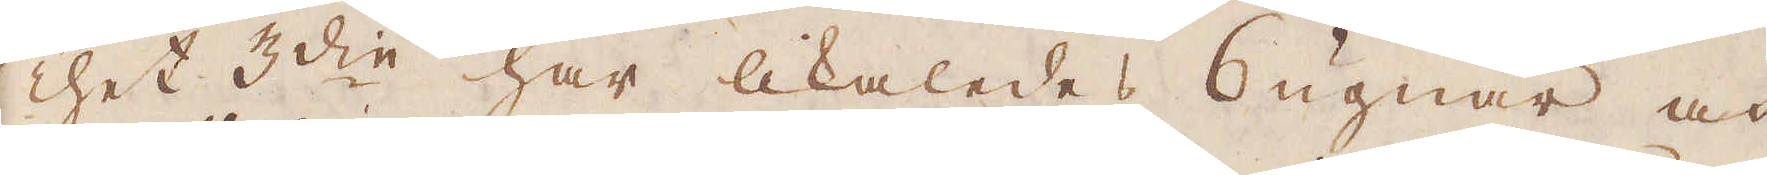Thet 3:die har likaledes 6 ugnar och
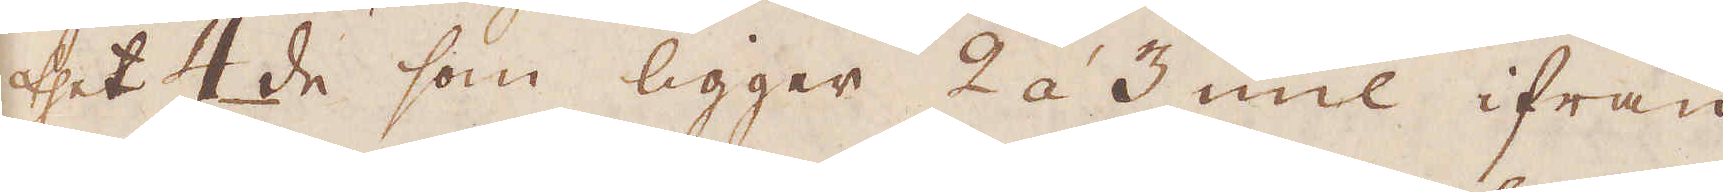thet 4de som ligger 2 á 3 mil ifrån
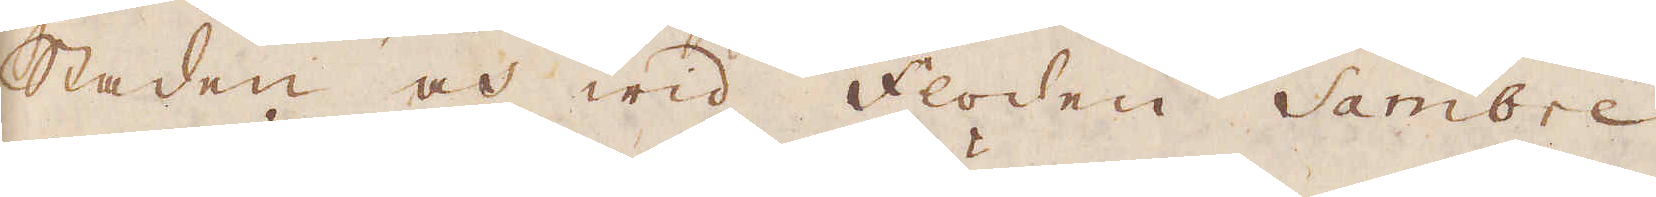staden och wid floden Sambre
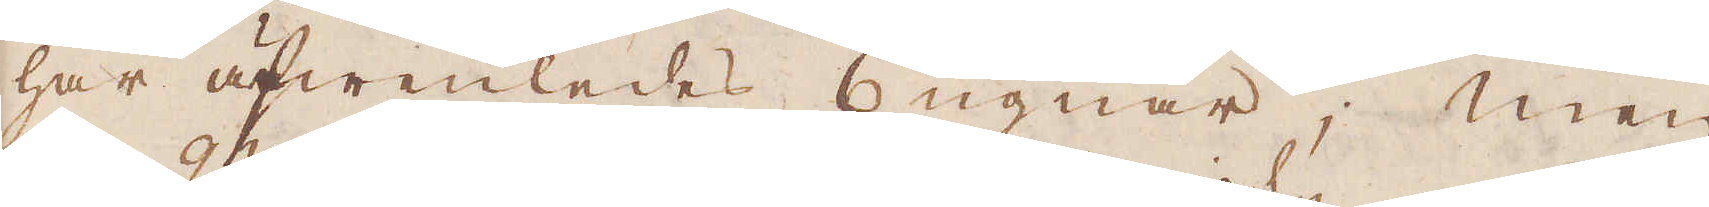har äfwenledes 6 ugnar; men
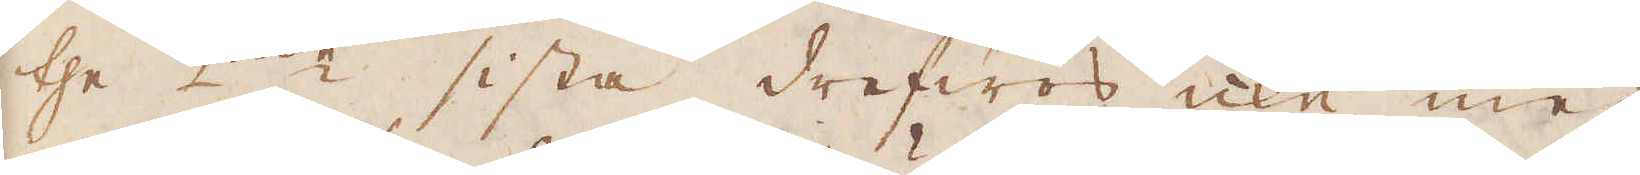the 2:ne sista drefwoss icke med
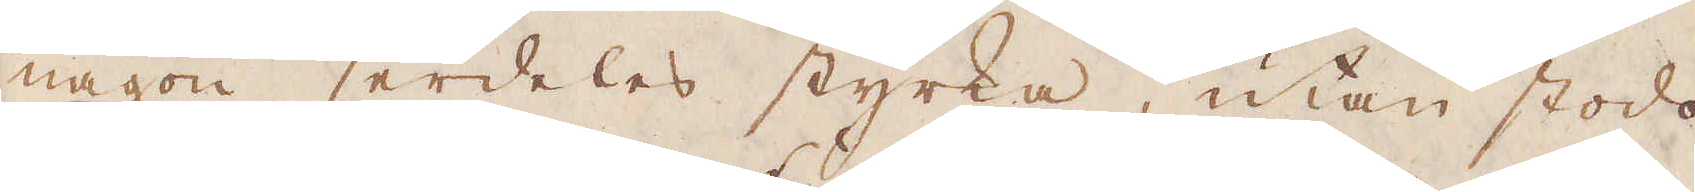någon serdeles styrka, utan stodo
